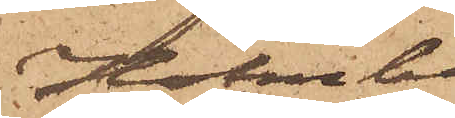Holmberg.
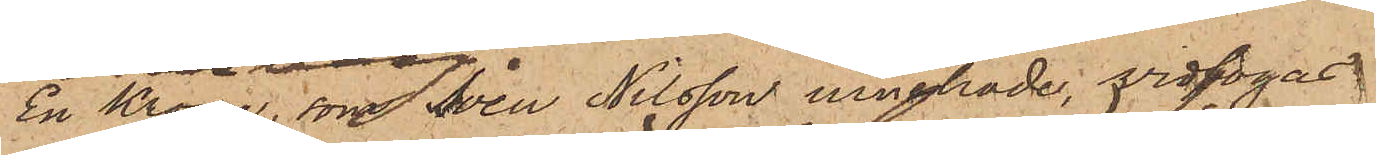En Krona, som Sven Nilsson innehade, vidfogas.
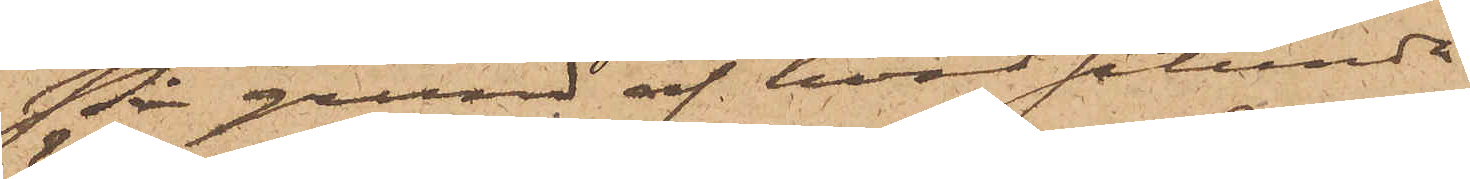På grund af hvad sålunda
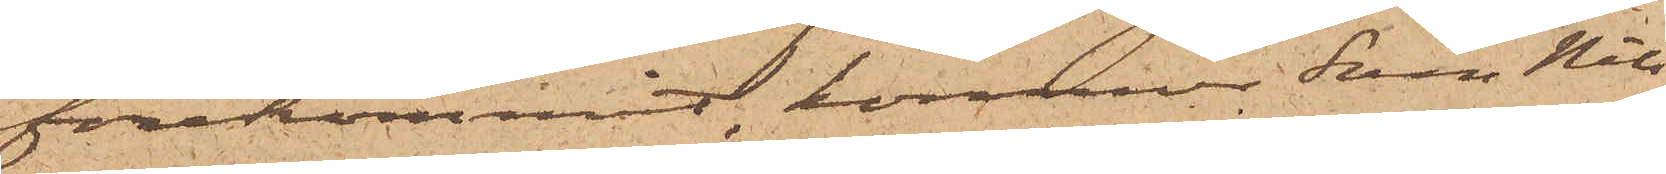förekommit, kommer Sven Nils¬
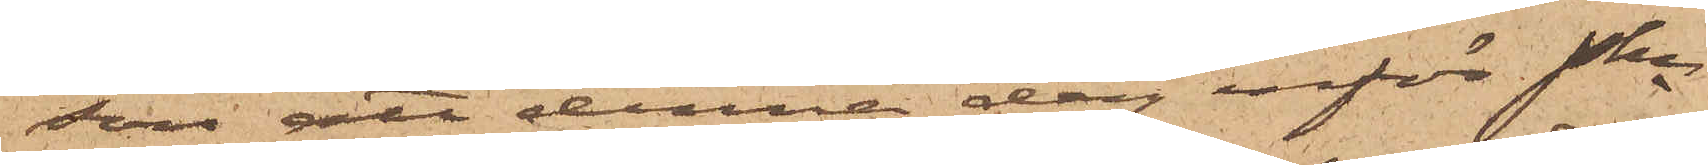son att denna dag inför Pkn
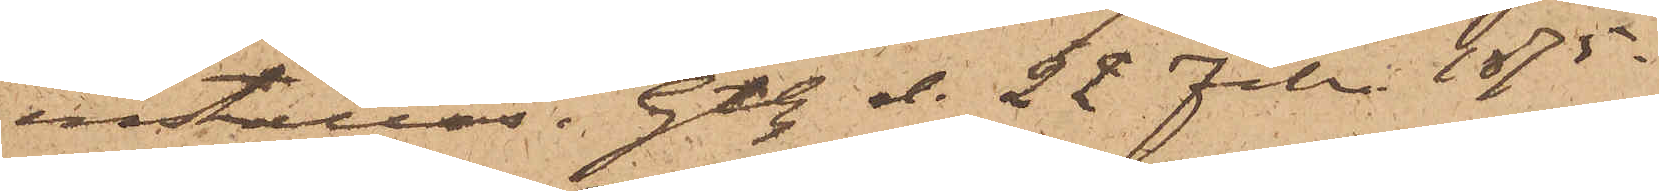inställas. Gtbg d. 22 Febr. 1875.
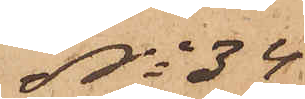No 34.
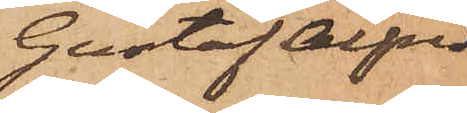Gustaf Alfred
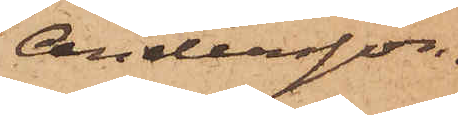Andersson.
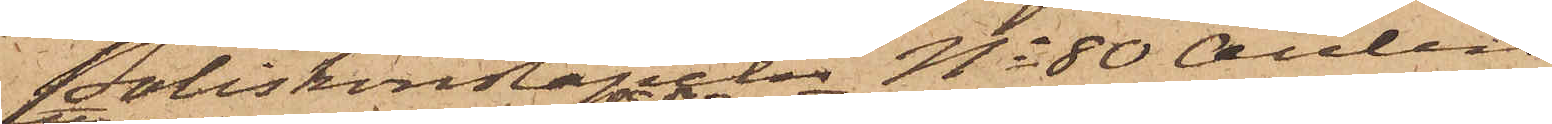Poliskonstapeln No 80 Aulin
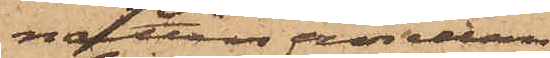natten emellan
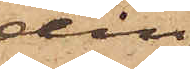den
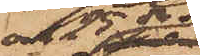och 25 ds
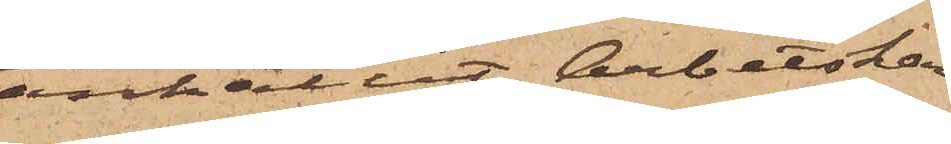anhållit Arbetskar¬
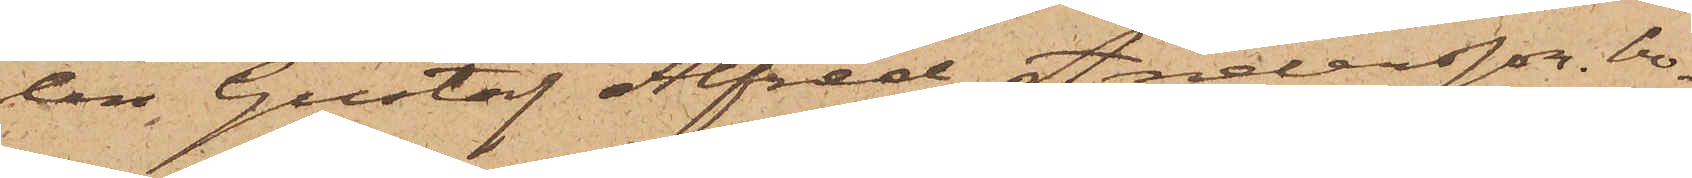len Gustaf Alfred Andersson, bo¬
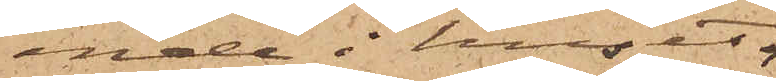ende i huset
